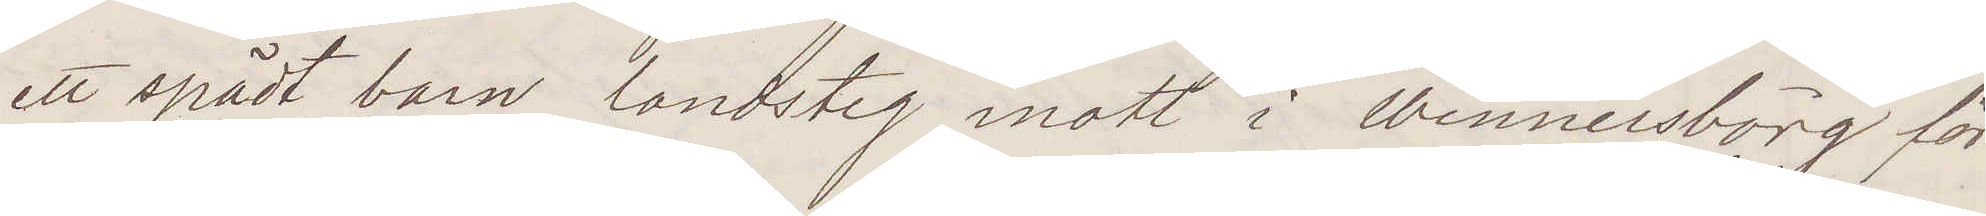ett spädt barn. landsteg inatt i Wennersborg för
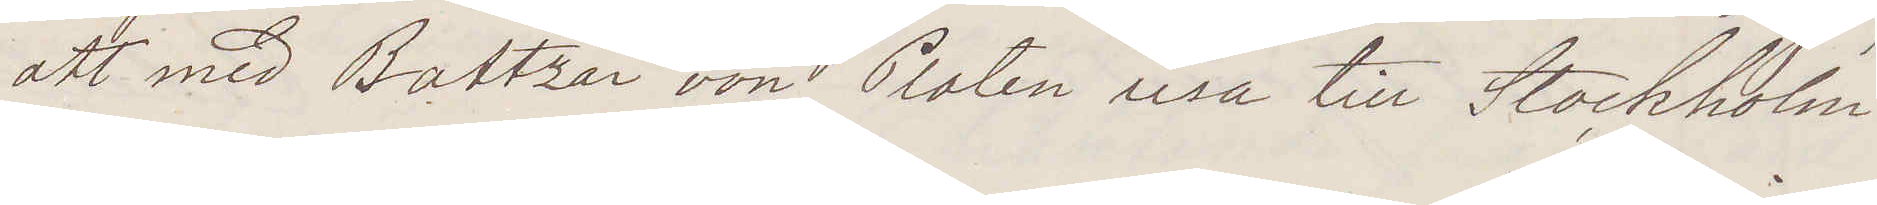att med Baltzar von Platen resa till Stockholm.
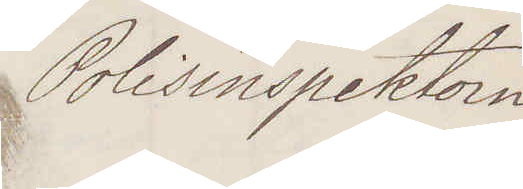Polisinspektorn
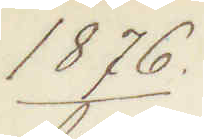1876.
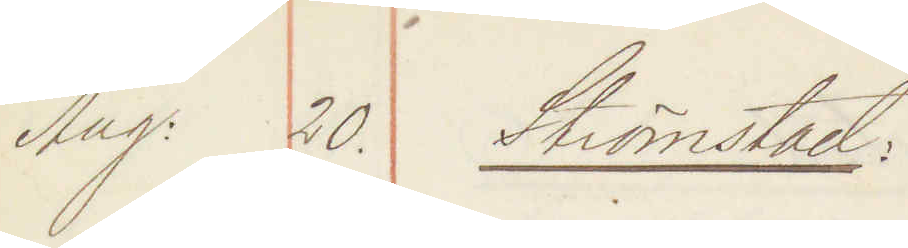Aug: 20. Strömstad:
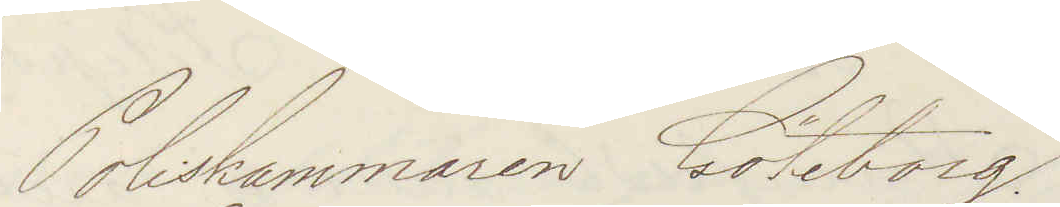Poliskammaren Göteborg.
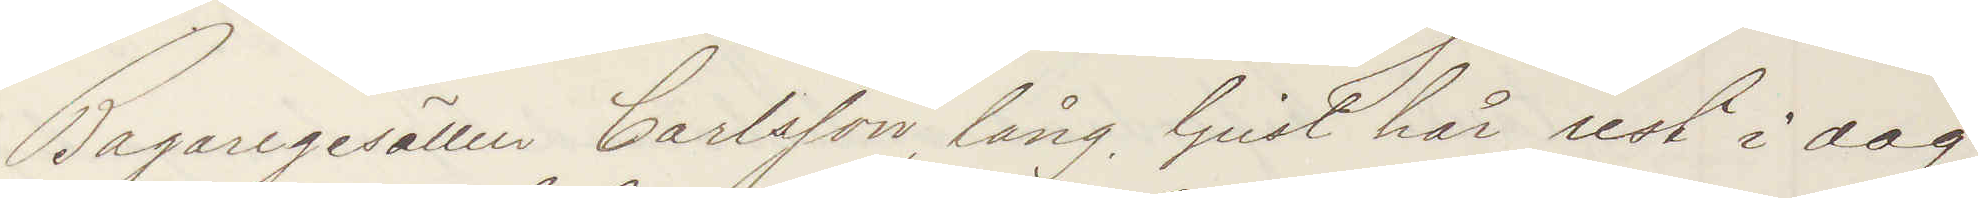Bagaregesällen Carlsson, lång, ljust hår rest i dag
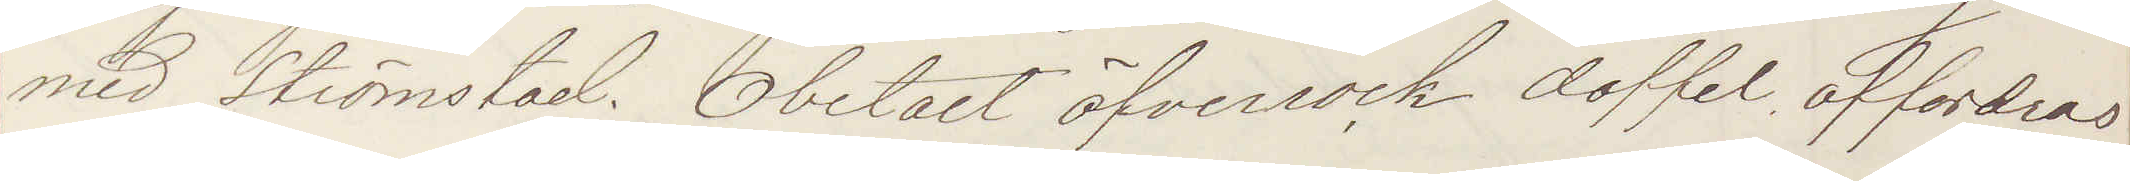med Strömstad. Obetalt öfverrock doffel affordras
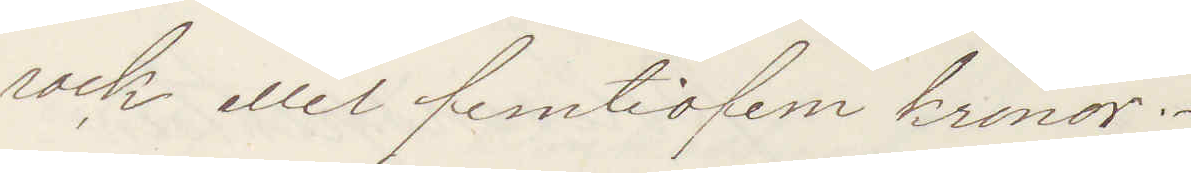rock eller femtiofem kronor.
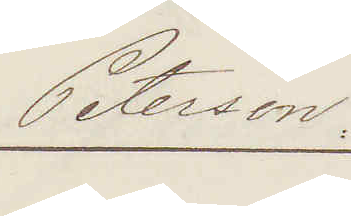Peterson
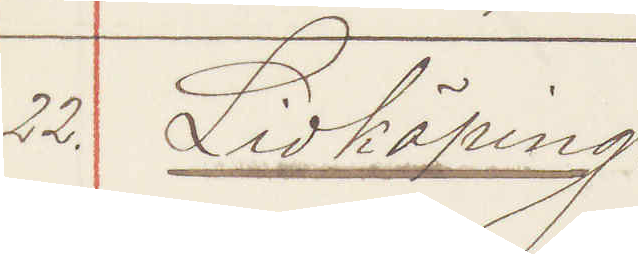22. Lidköping:
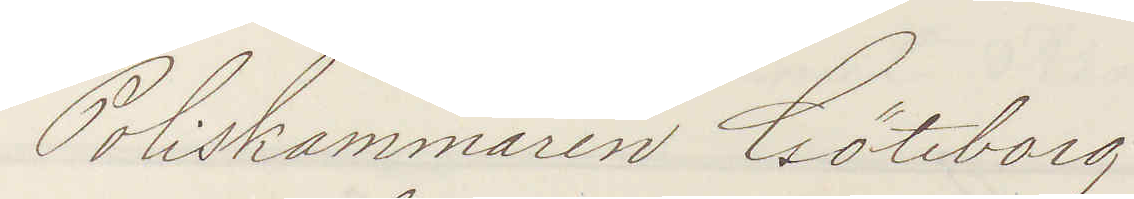Poliskammaren Göteborg
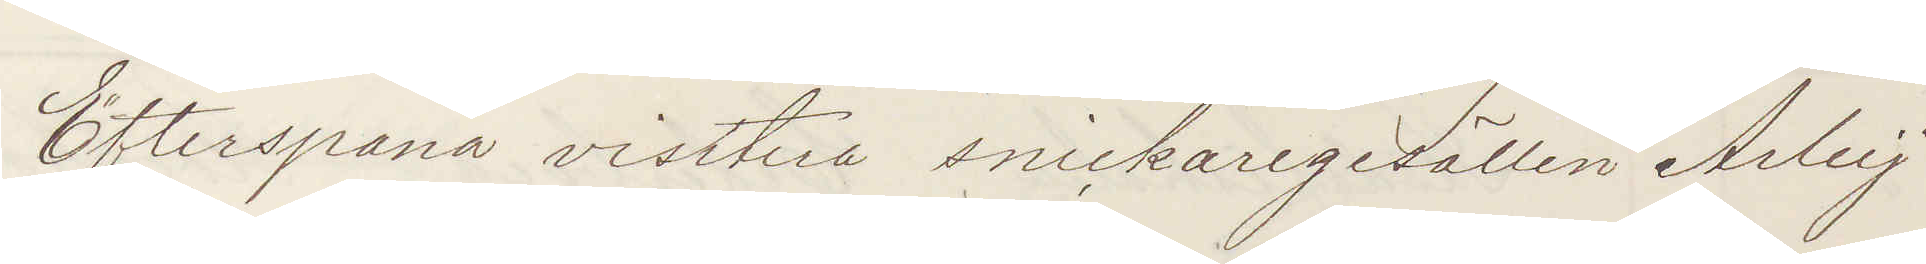Efterspana visitera snickaregesällen Arleij
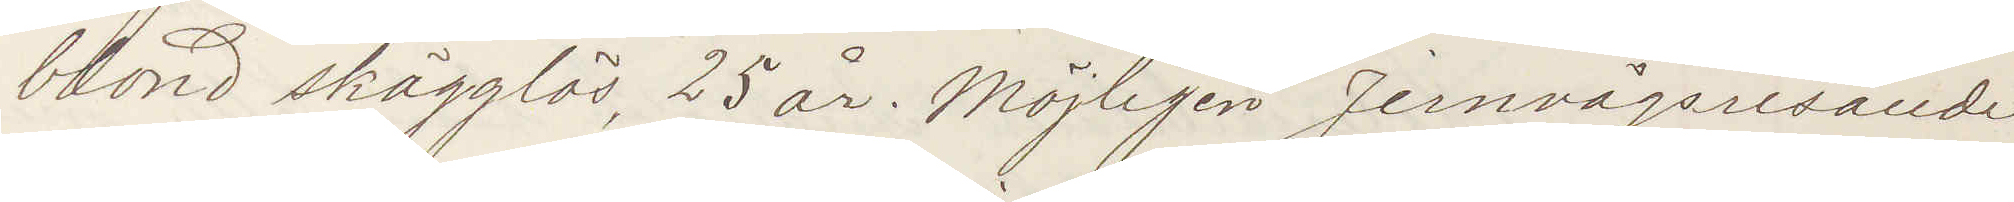blond skägglös, 25 år. Möjligen Jernvägsresande
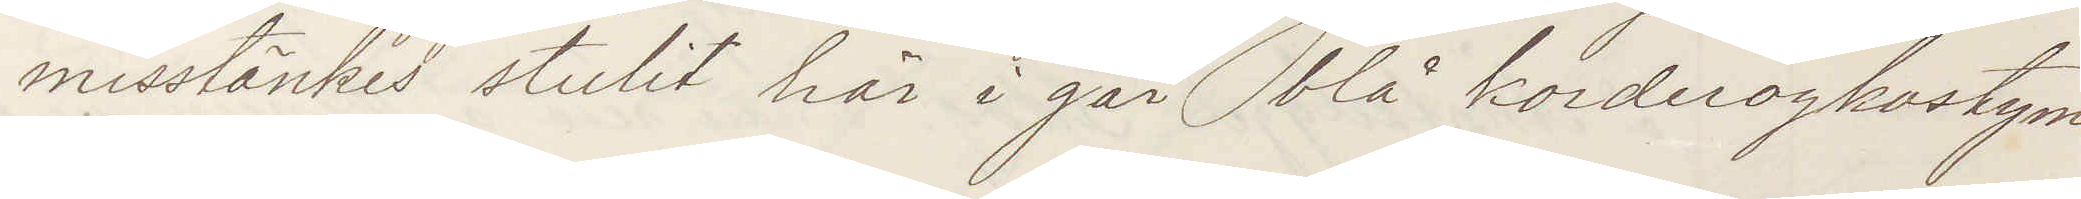misstänkes stulit här i går blå korderoykostym
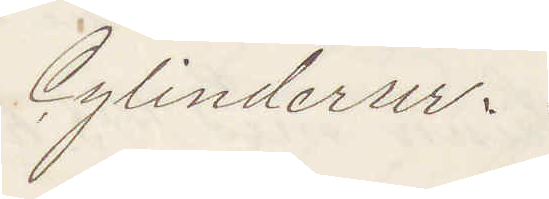Cylinderur.
